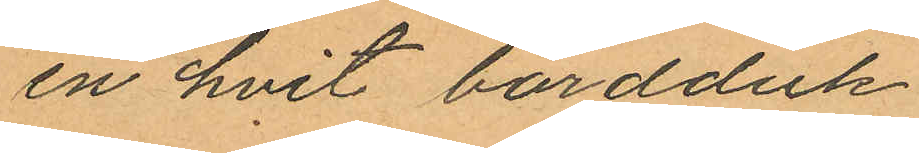en hvit bordduk
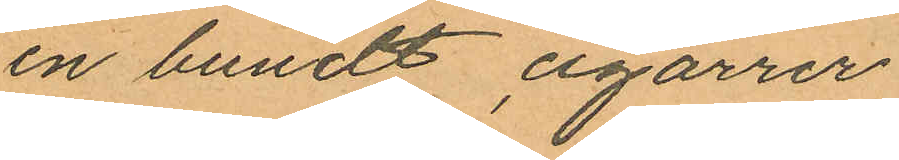en bundt cigarrer
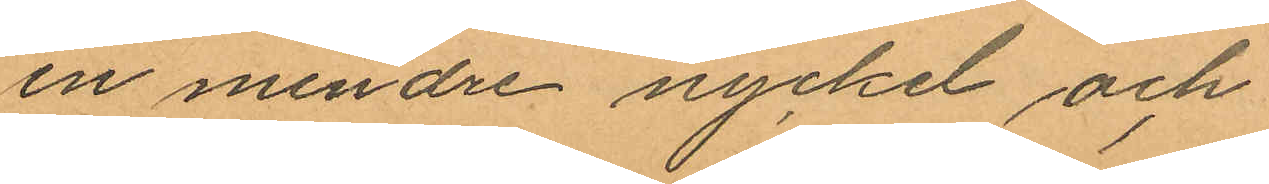en mindre nyckel och
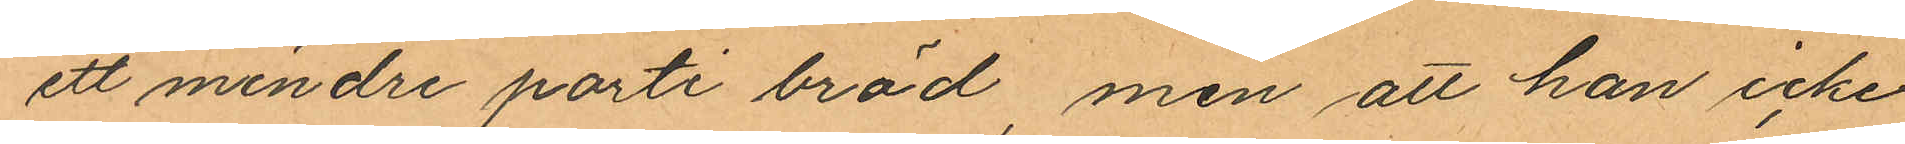ett mindre parti bröd, men att han icke
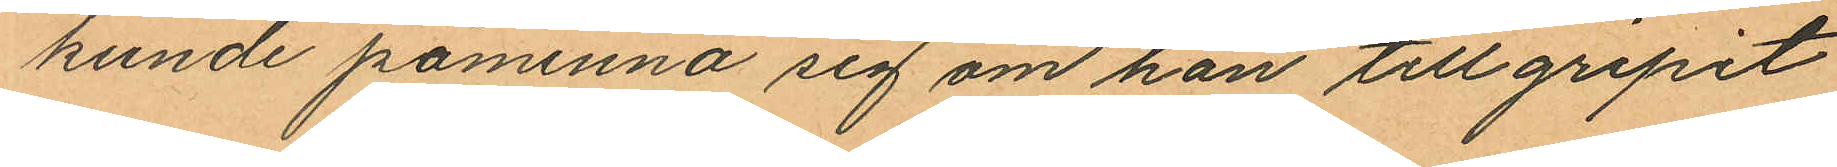kunde påminna sig om han tillgripit
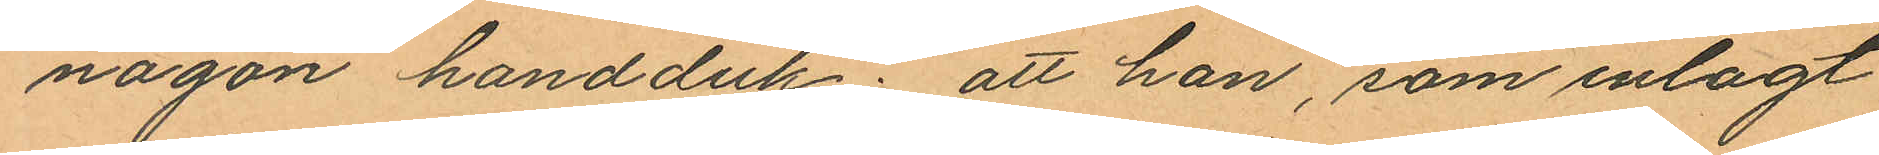någon handduk; att han, som inlagt
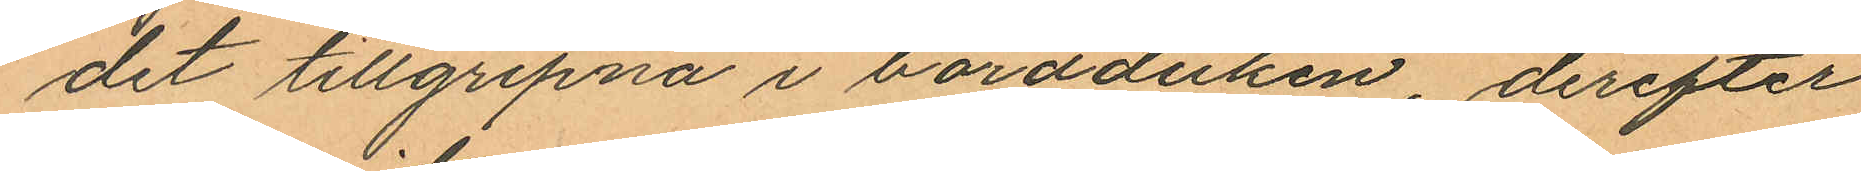det tillgripna i bordduken, derefter
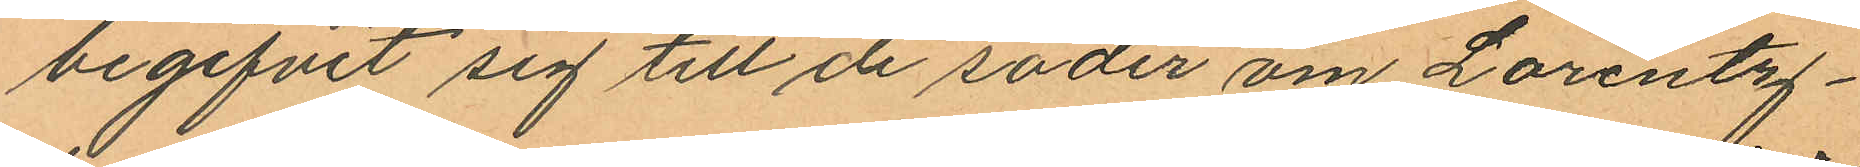begifvit sig till de söder om Lorentz¬
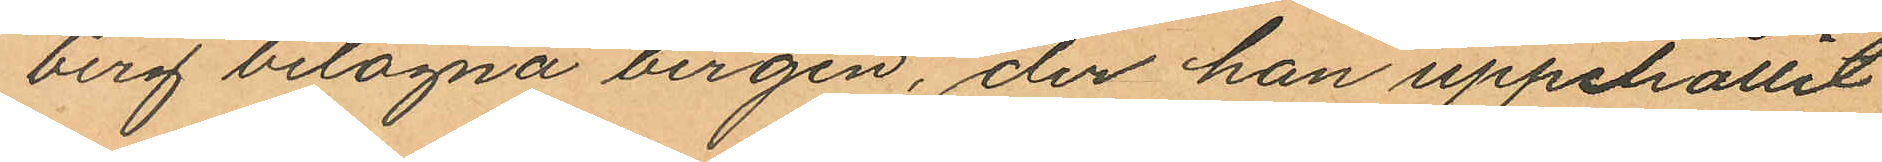berg belägna bergen, der han uppehållit
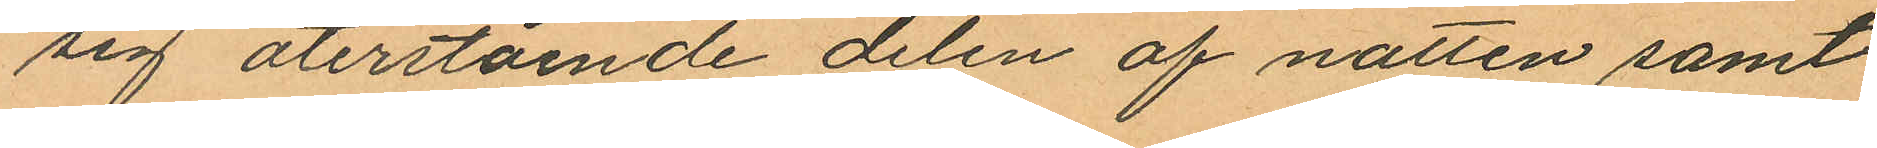sig återstående delen af natten samt
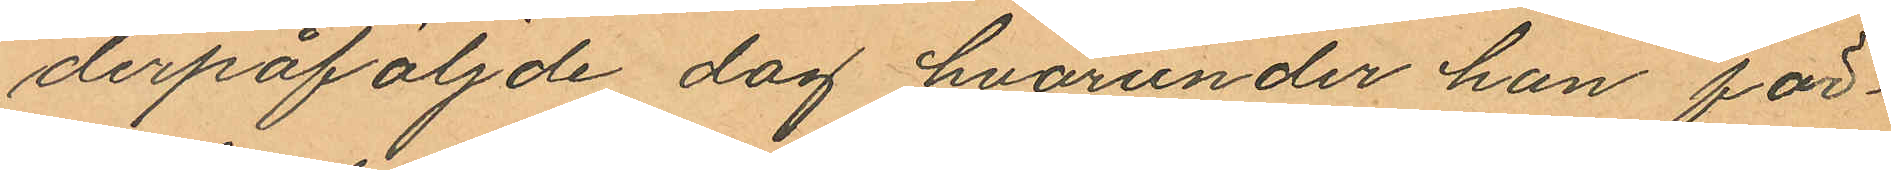derpåföljde dag hvarunder han för¬
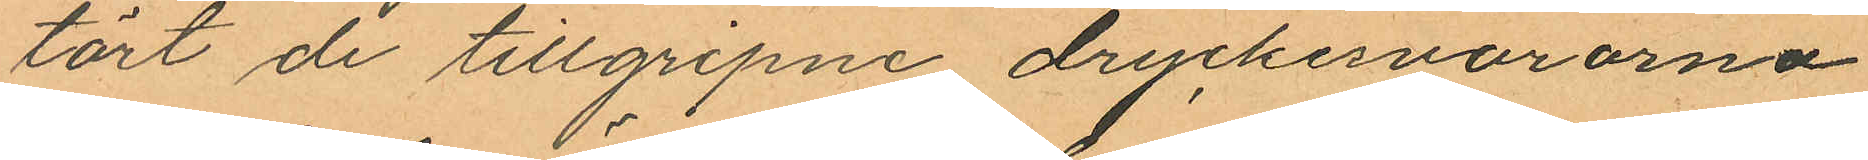tärt de tillgripne dryckesvarorna
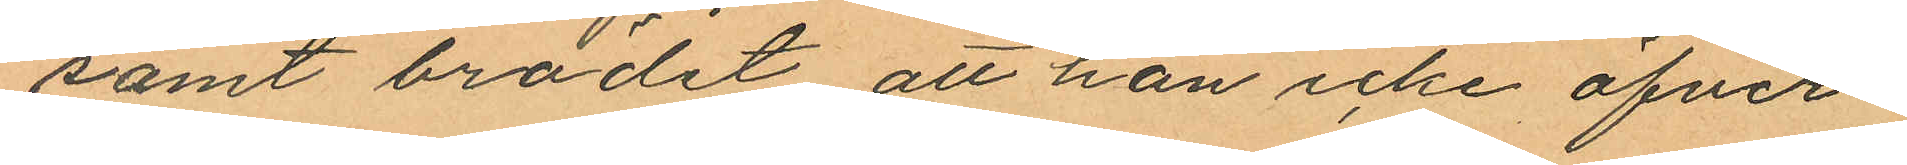samt brödet att han icke öfver¬
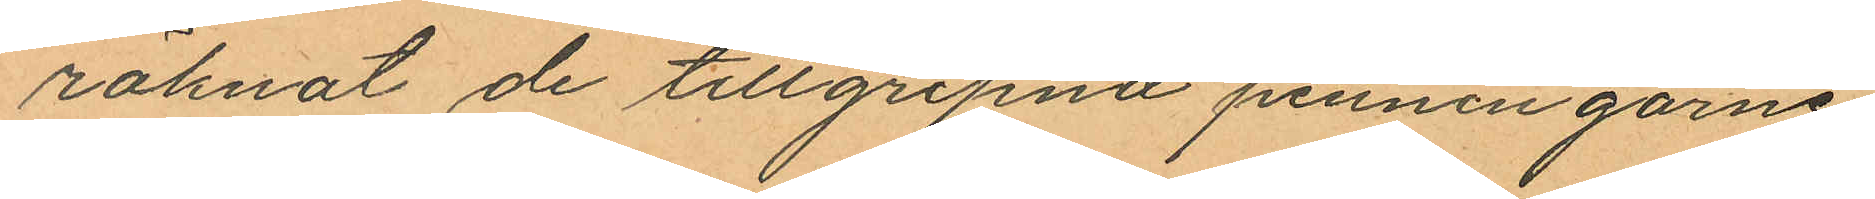räknat de tillgripna penningarne
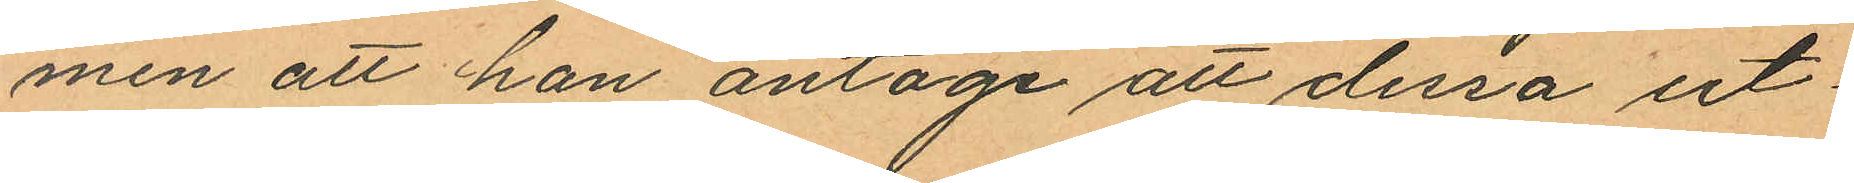men att han antoge att dessa ut¬
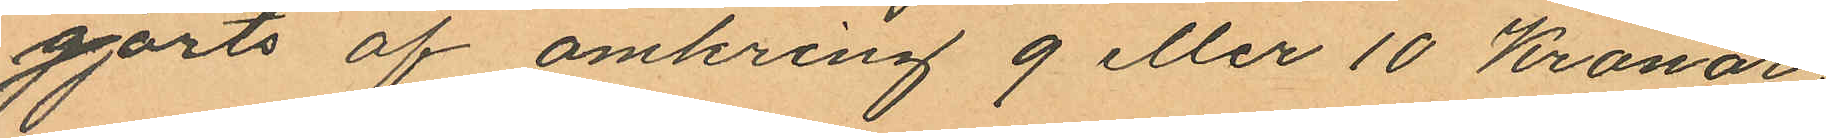gjorts af omkring 9 eller 10 Kronor;
